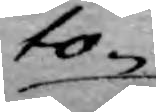to¬
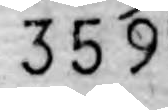359
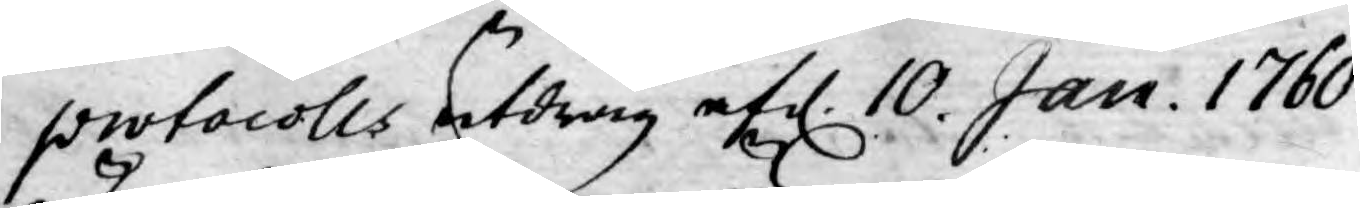protocolls utdrag af d. 10. Jan. 1760.
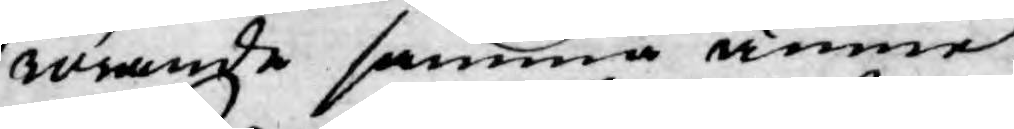rörande samma ämne.
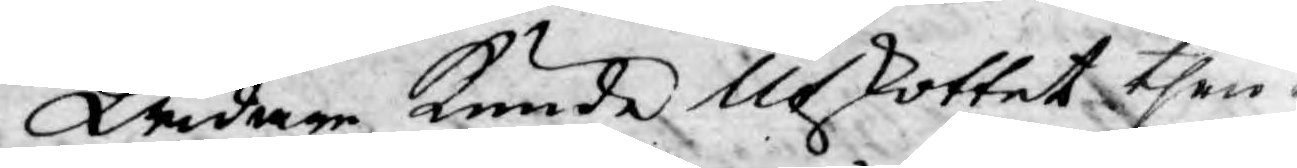Widare kunde Utkottet then¬
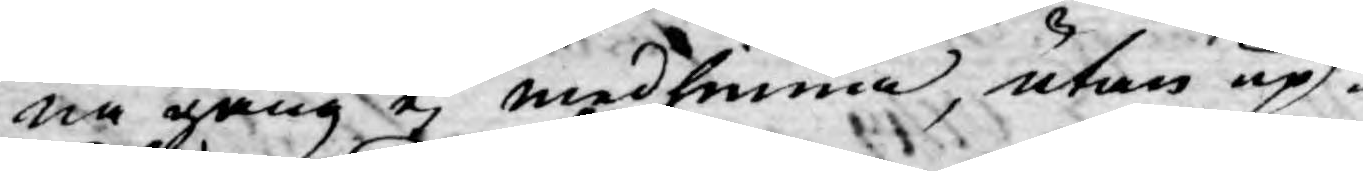na gång ej medfinna, utan up¬
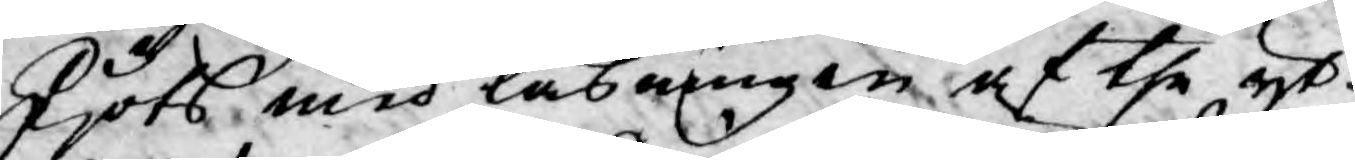skjöts med läsningen af the yt¬
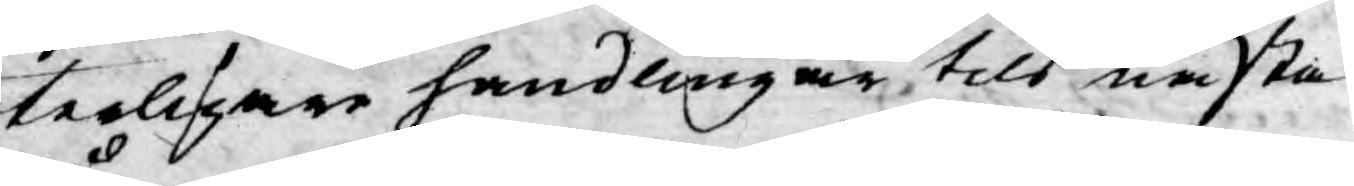terligare handlingar till nästa
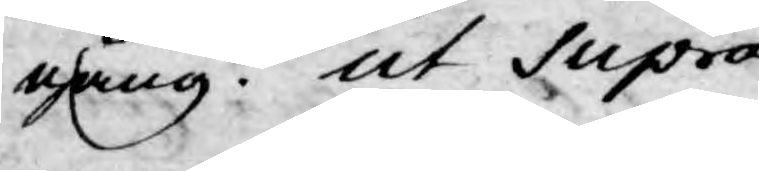gång. ut Supra.
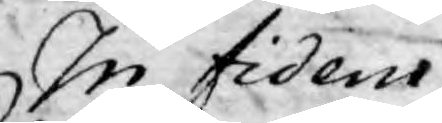In fidem
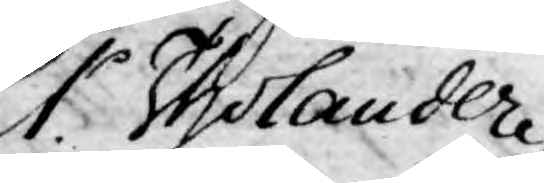Er. Tholander
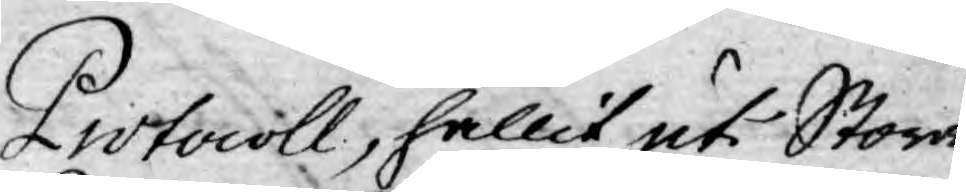Protocoll, hållit uti Stora
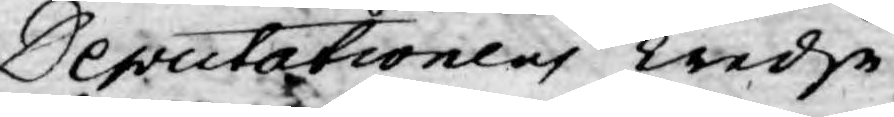Deputationens Tredje
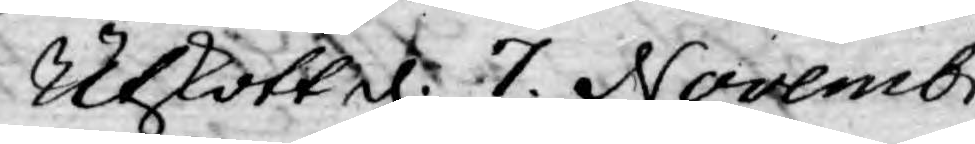Utskott. d. 7. Novembr
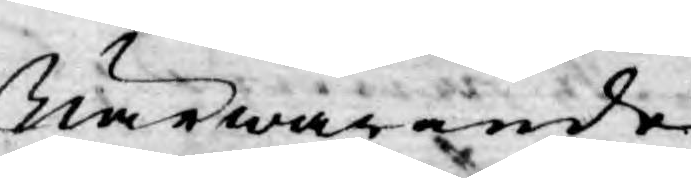Närwarande
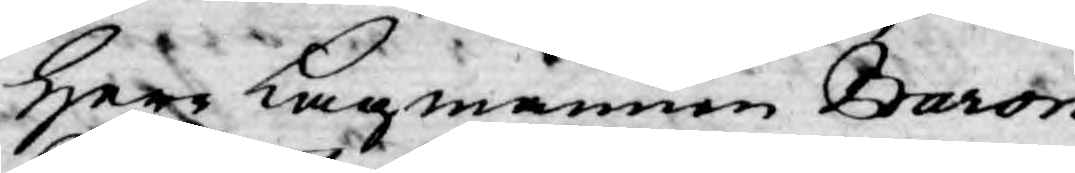Herr Lagmannen Baron
